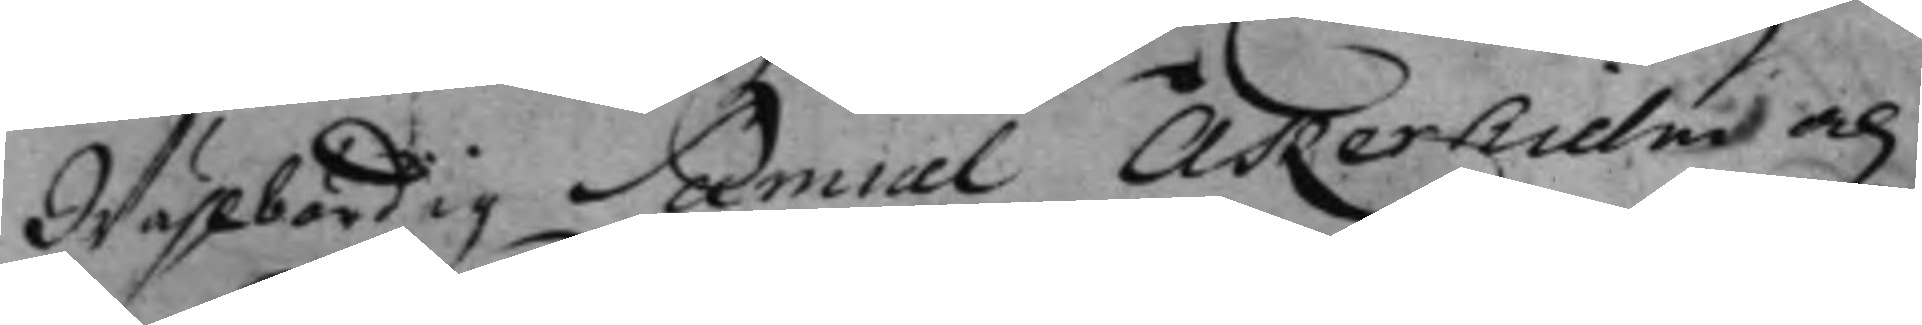Wählbördig Samuel Åkerhielm och
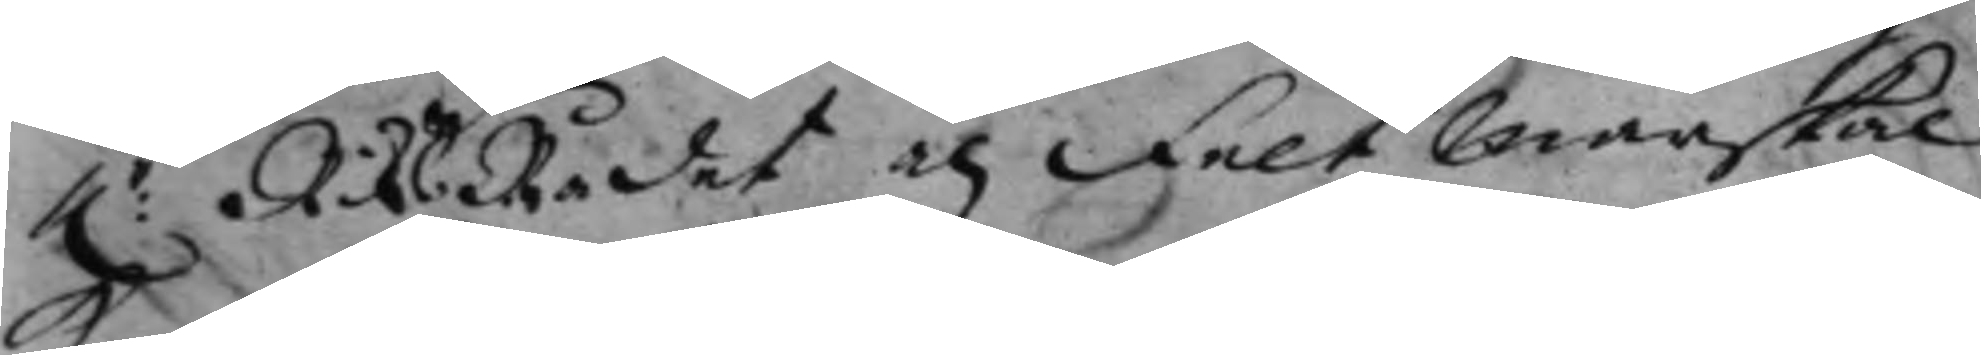h.r RiksRådet och Feltmarskal¬
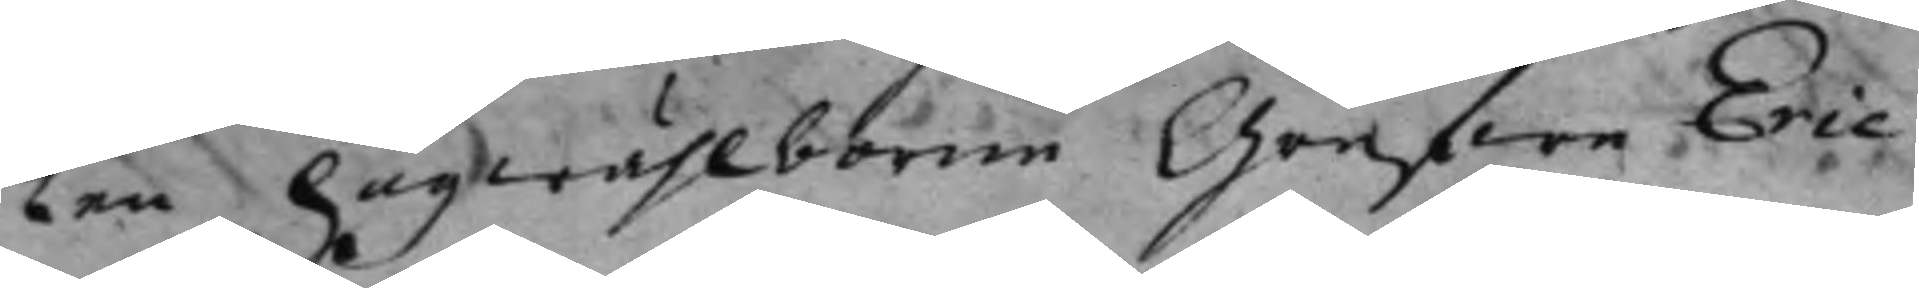ken högwählborne Grefwe Eric
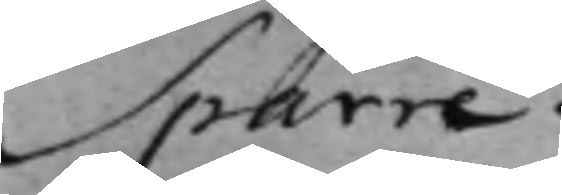Sparre.
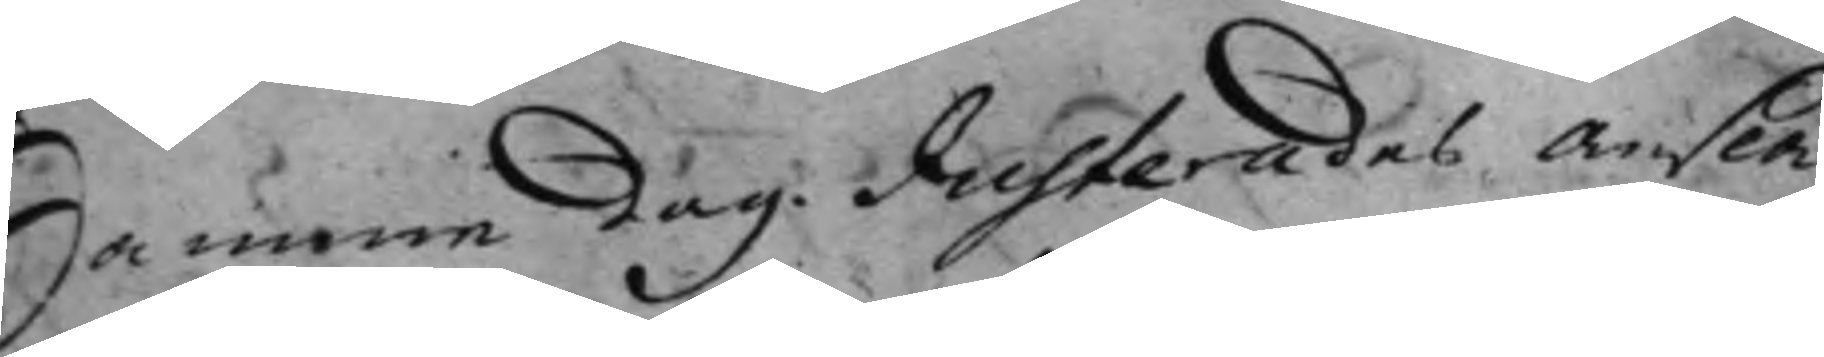Samme dag. Justerades Ansla¬
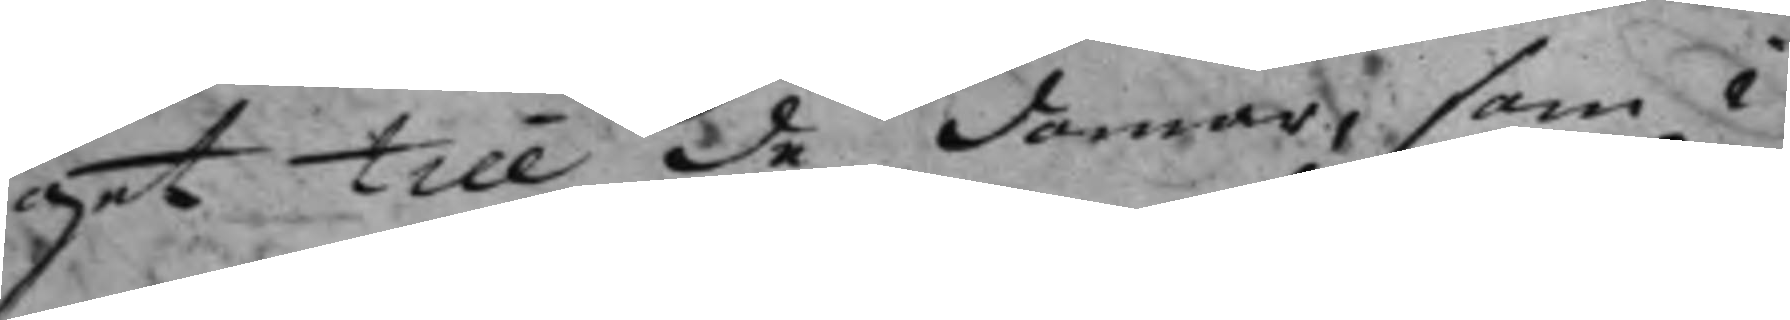get till de Domar, som i
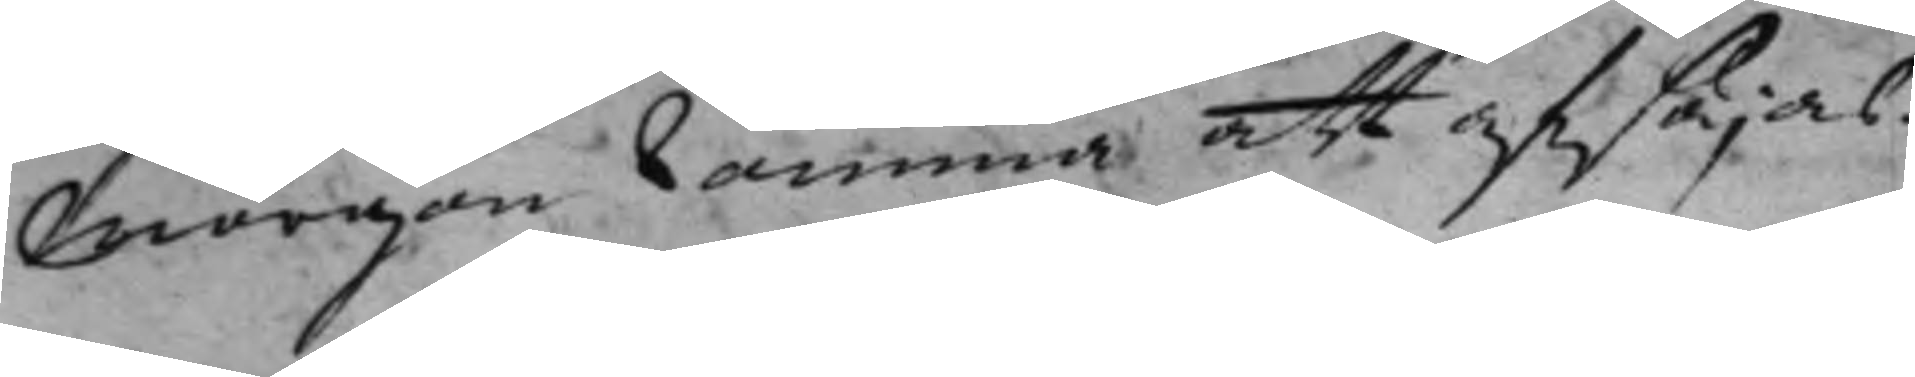morgon komma att afsäjas.
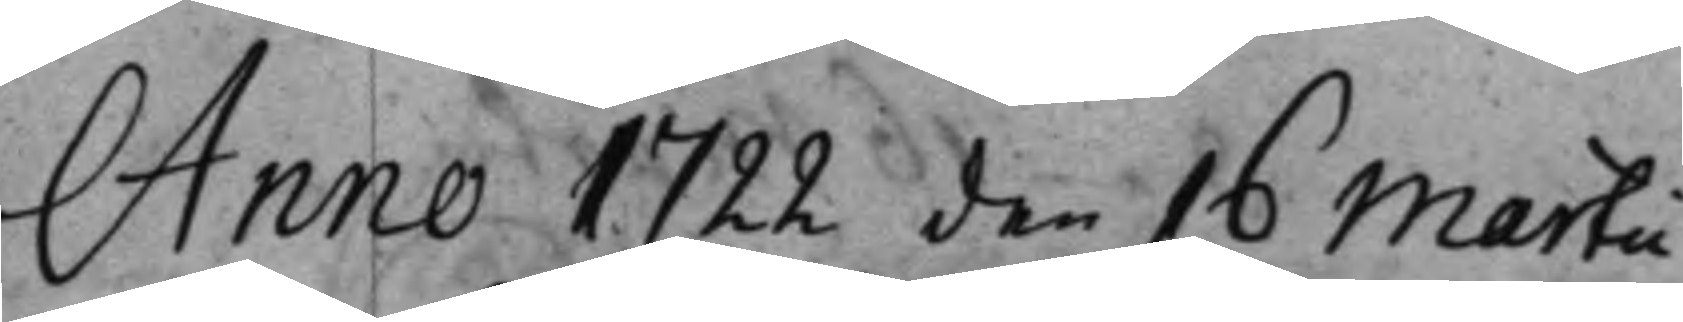Anno 1722 den 16 Martii
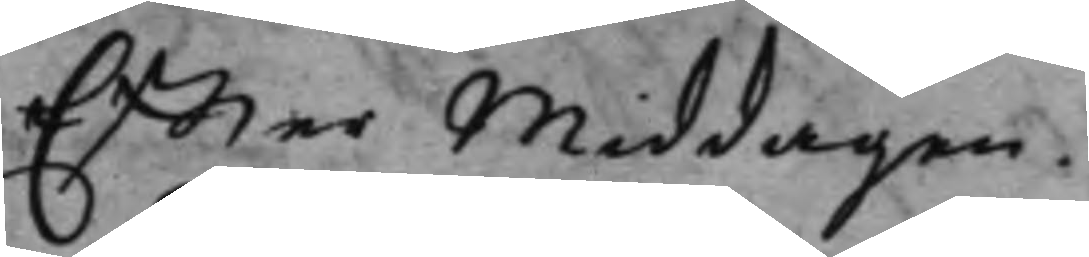Effter Middagen.
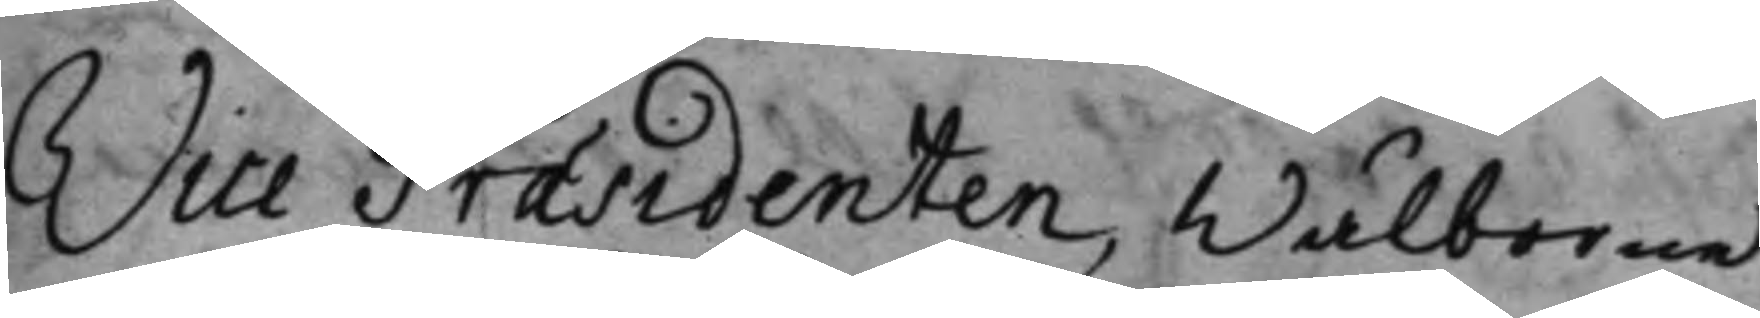Vice Præsidenten, Wälborne
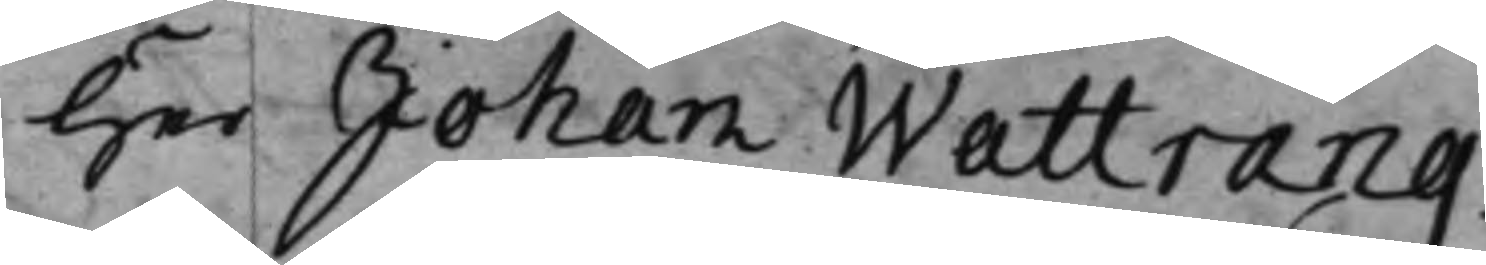Her Johan Wattrang.
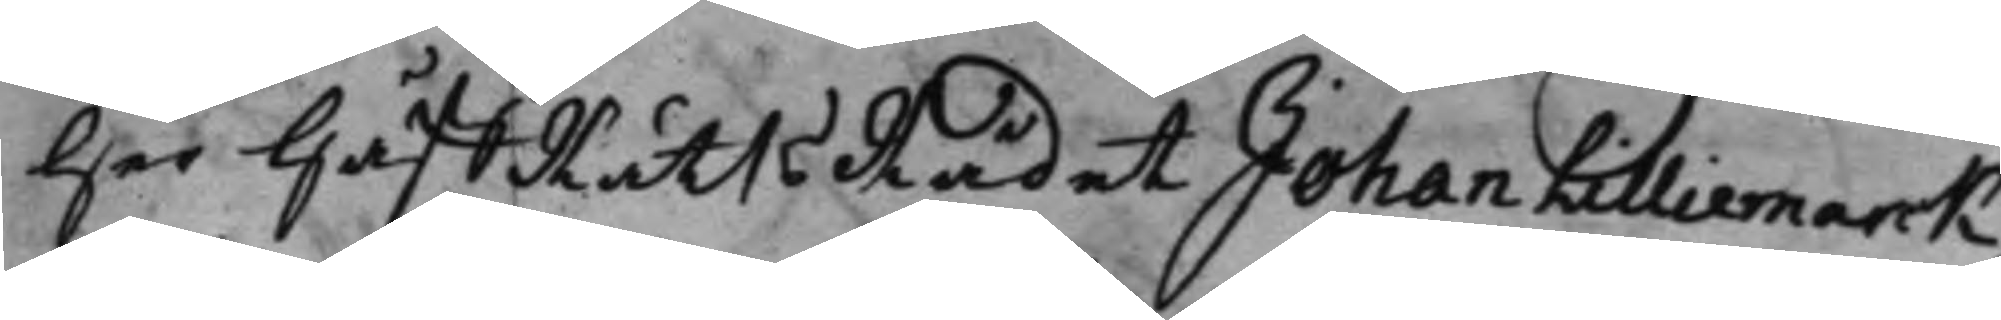Her HåffRättsRådet Johan Lilliemarck.
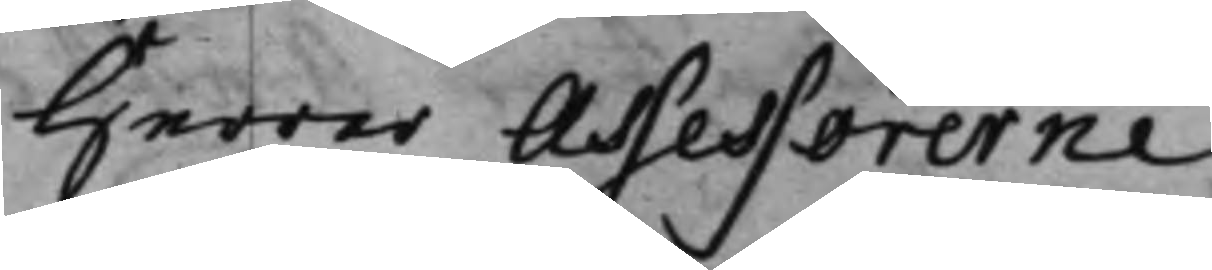Herrar Assessorerne
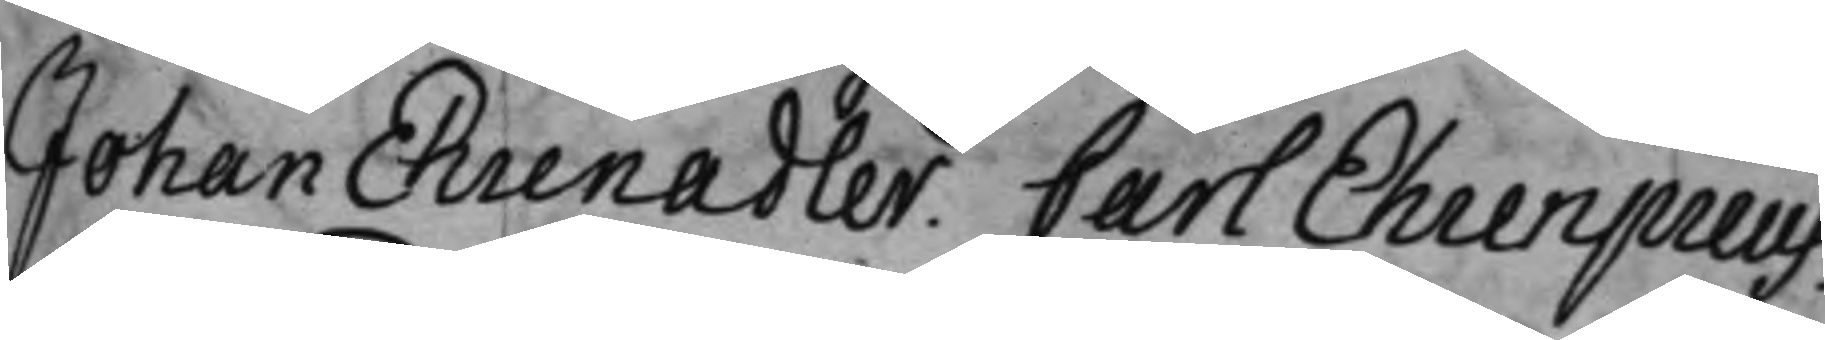Johan Ehrenadler, Carl Ehrenpreus.
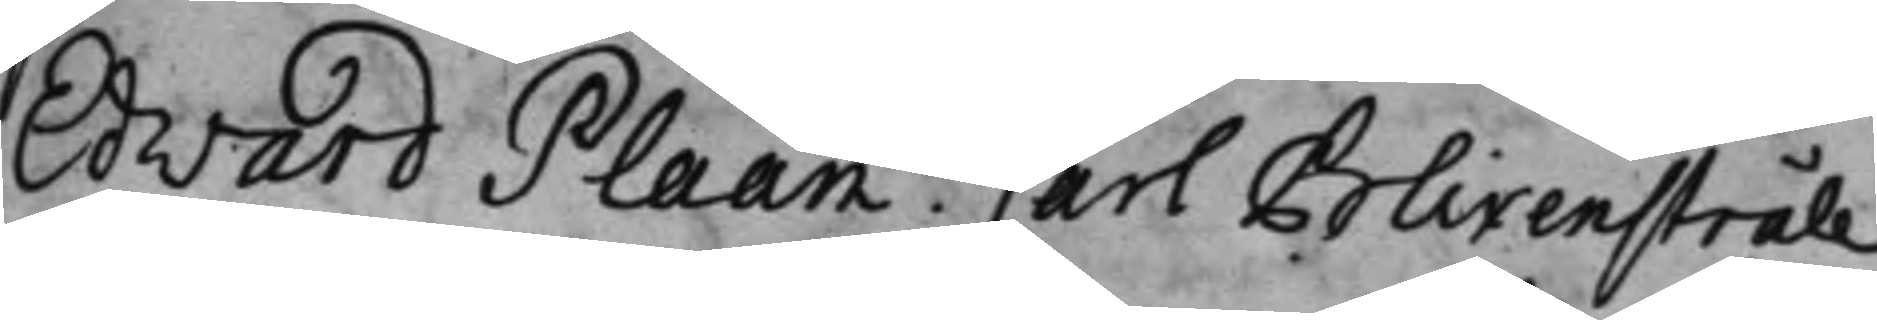Edvard Plaan Carl Blixenstråle,
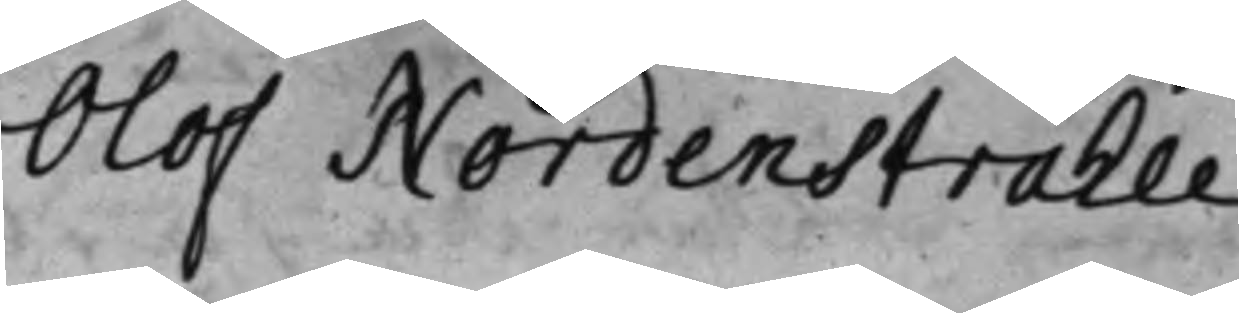Olof Nordenstråhle
